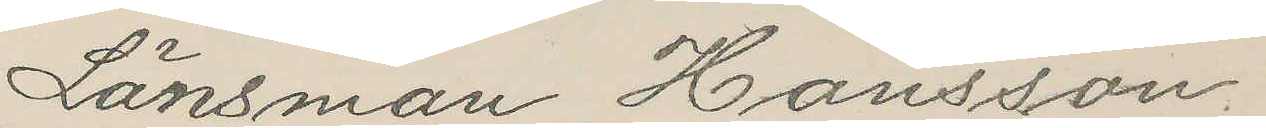Länsman Hansson.
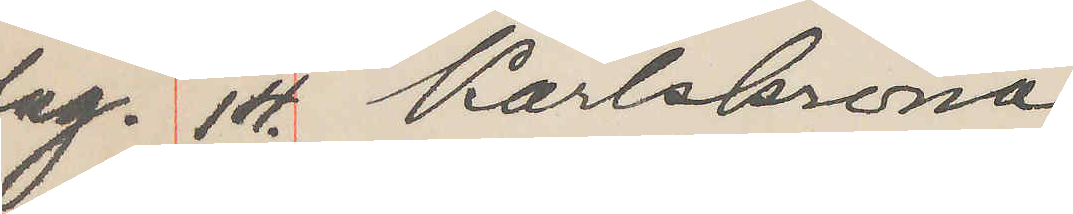Aug. 14 Karlskrona
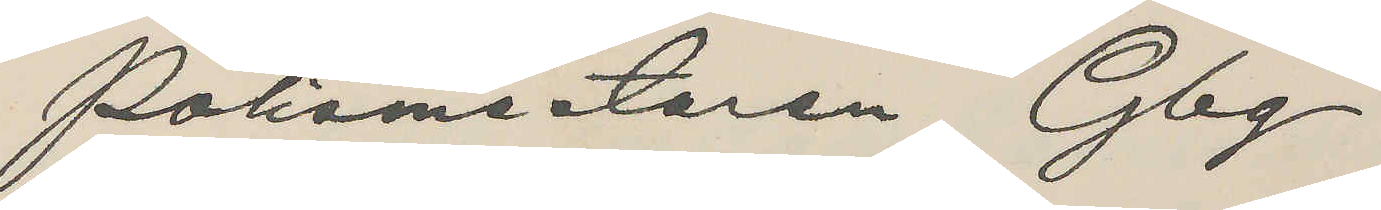Polismästaren Gbg
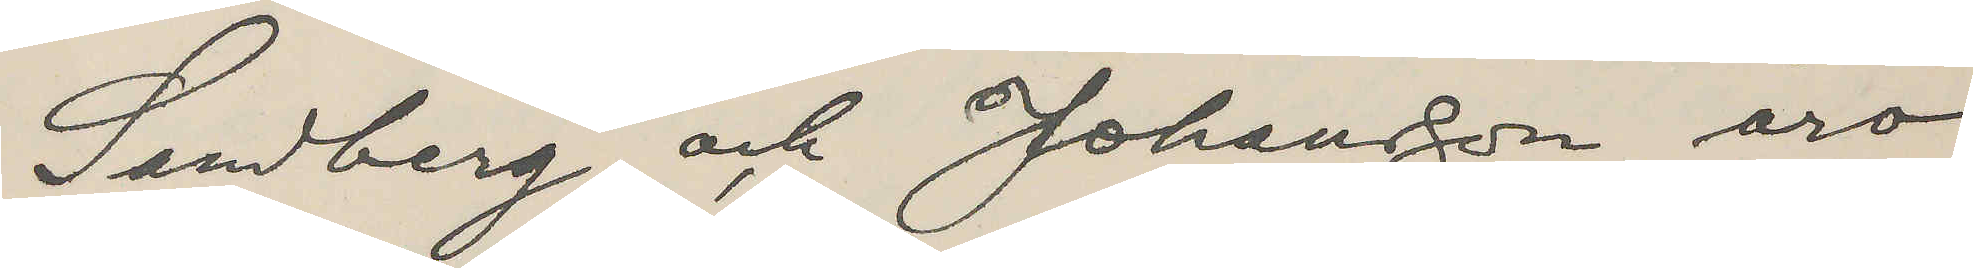Sandberg och Johansson äro
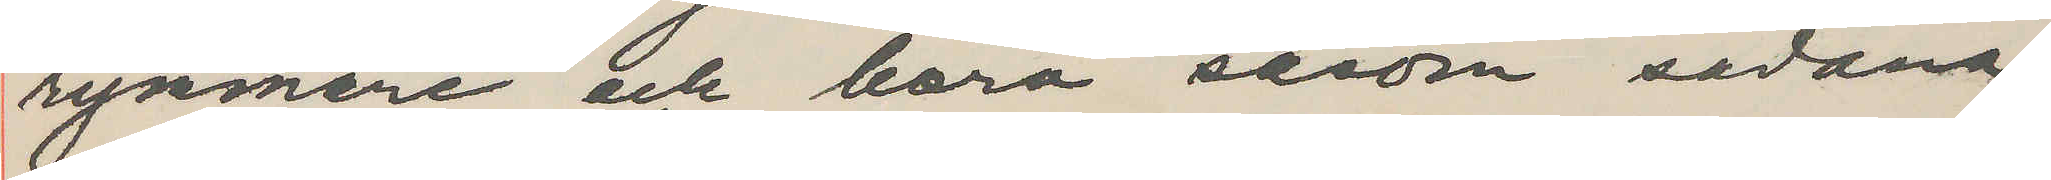rymmare och böra såsom sådana
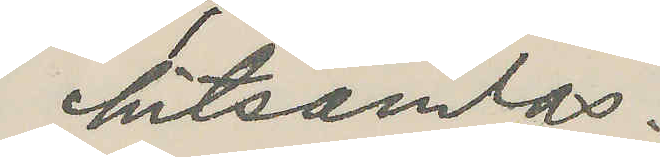hitsändas.
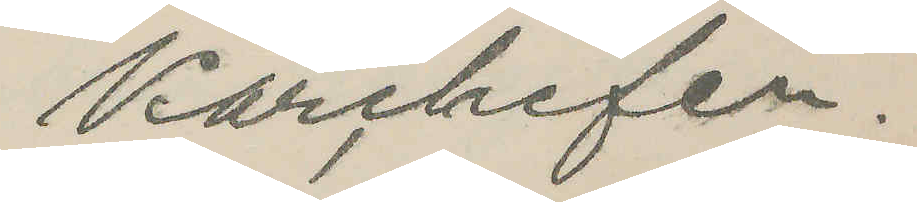Kårchefen.
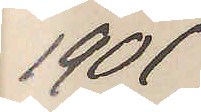1901
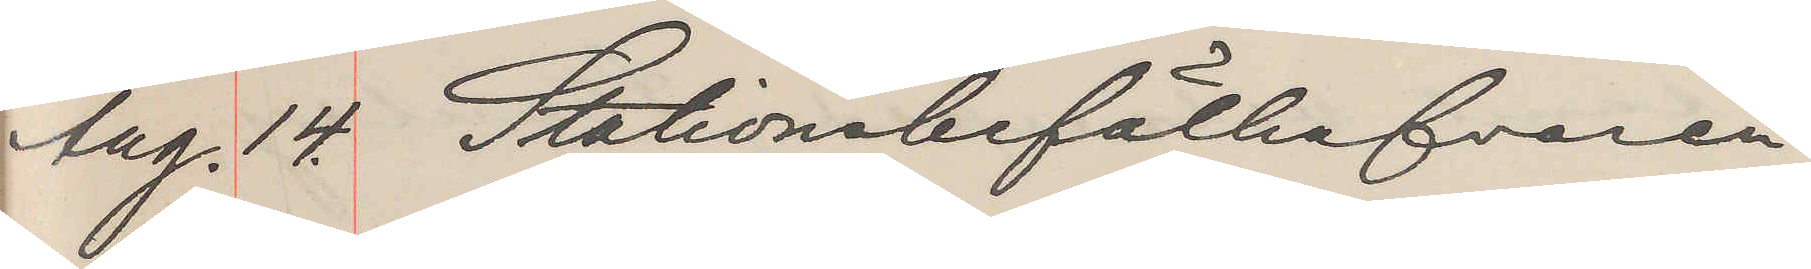Aug. 14. Stationsbefälhafvaren
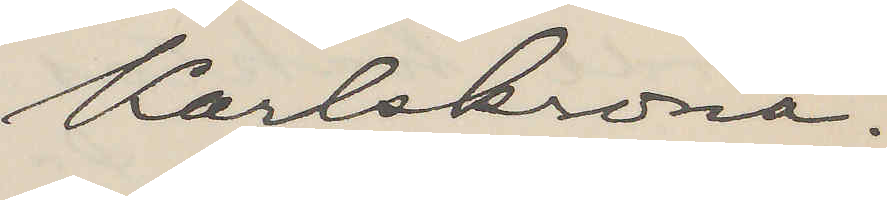Karlskrona.
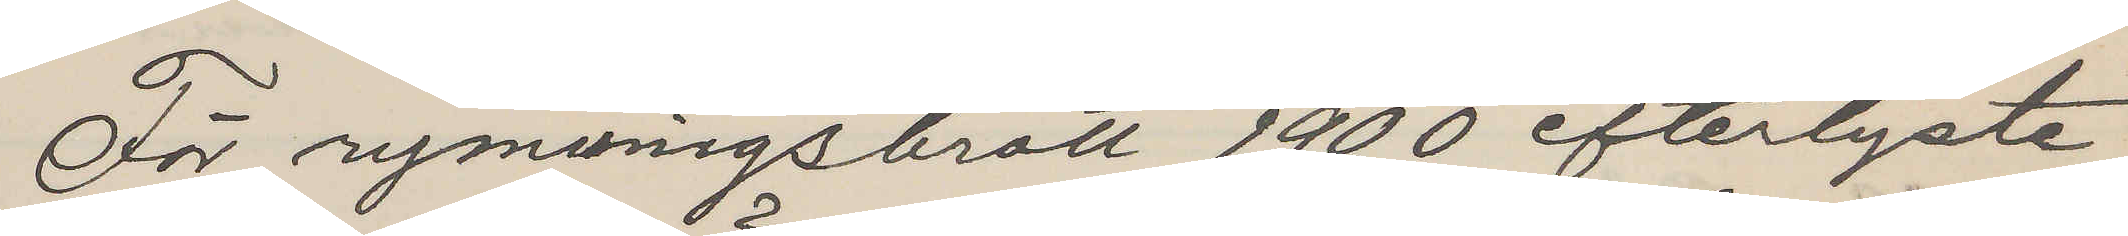För rymningsbrott 1900 efterlyste
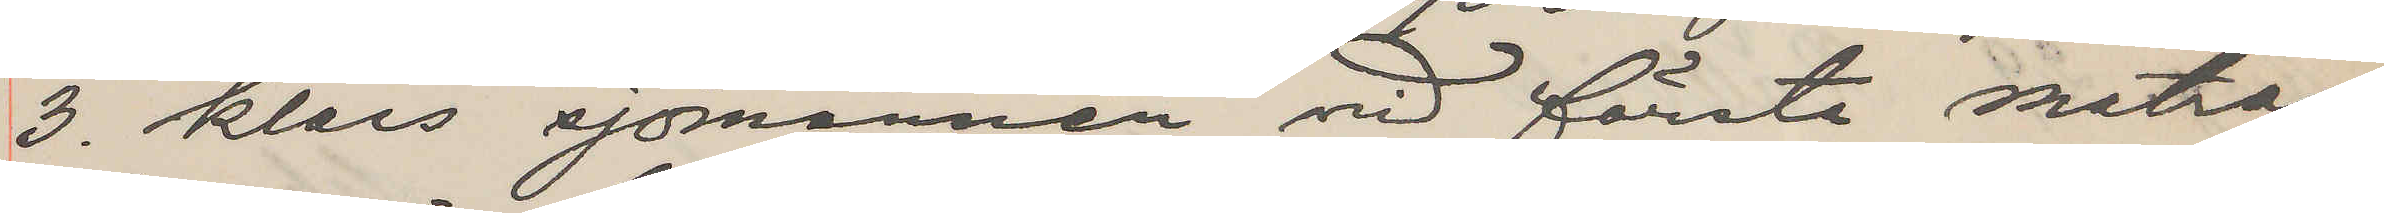3. klass sjömännen vid första matros¬
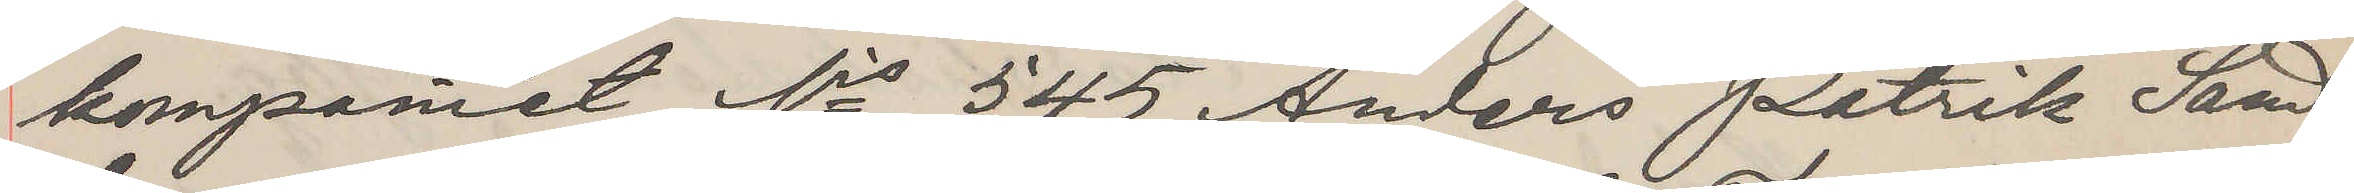kompaniet Nis 545 Anders Patrik Sand¬
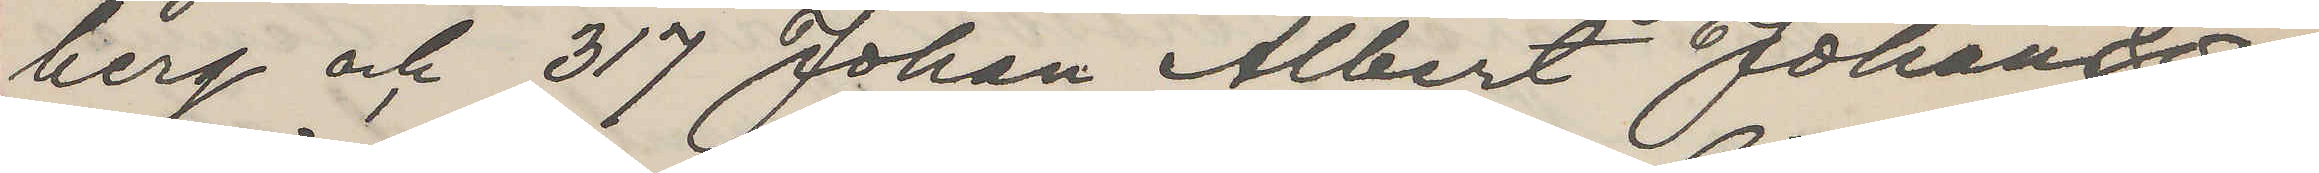berg och 317 Johan Albert Johanson
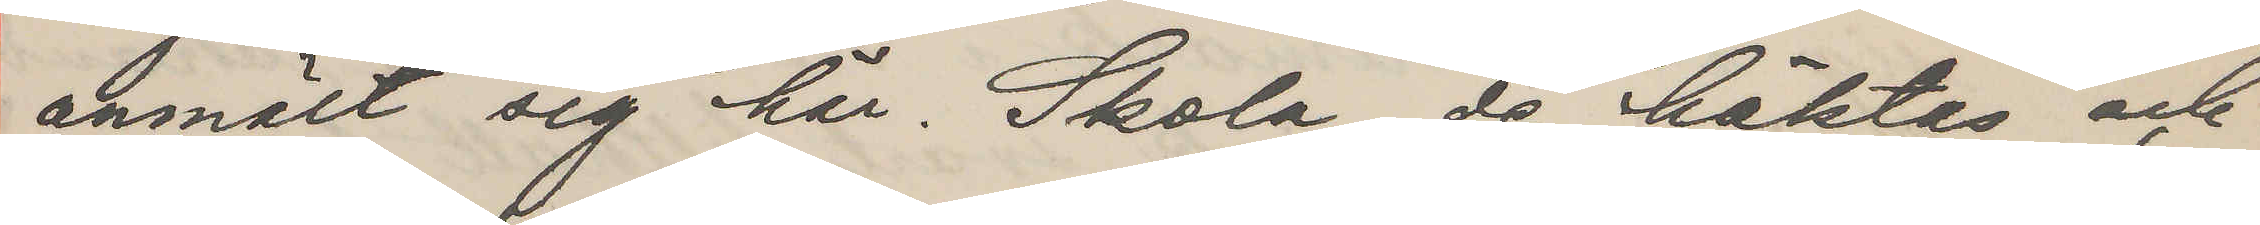anmält sig här. Skola de häktas och
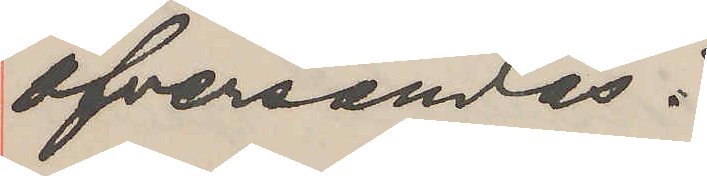öfversändas?
